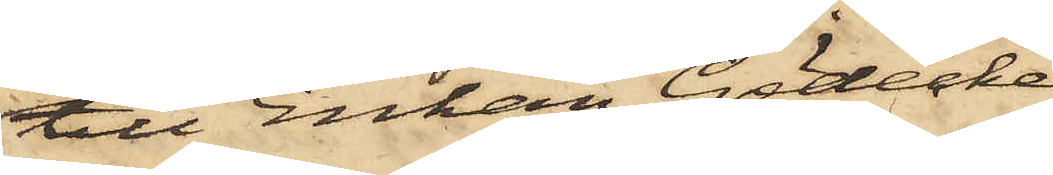till Enkan Gödecke;
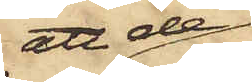att de
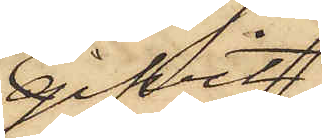gifvit
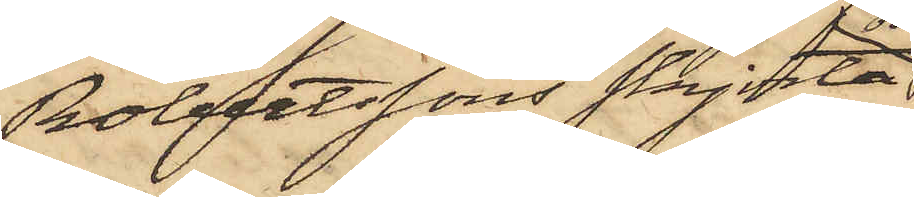Robertssons skjorta
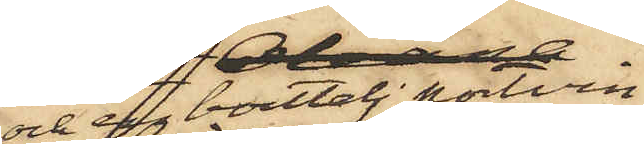och en boutelj portvin
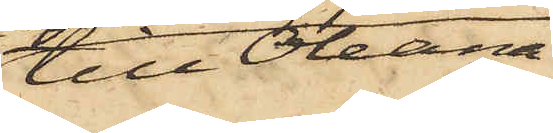till Oleana
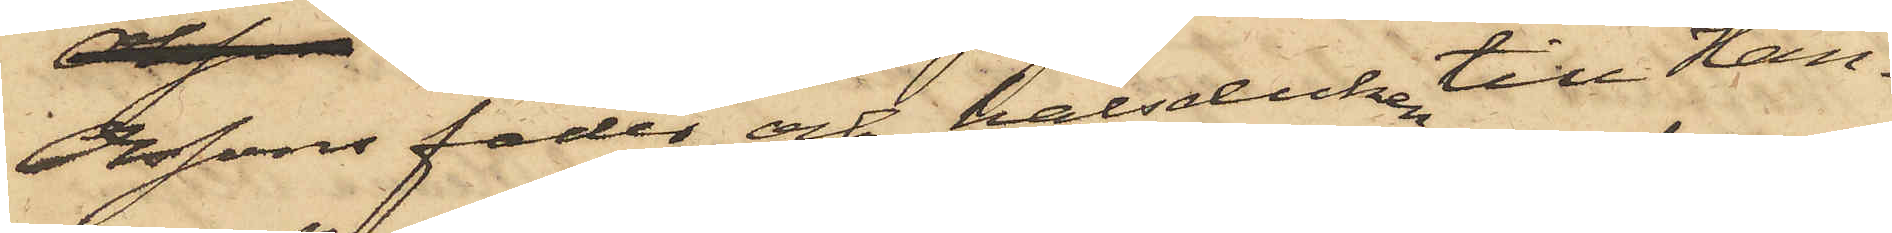Olssons fader och halsduken till Han¬
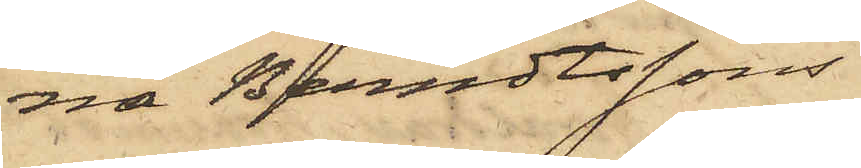na Berndtssons
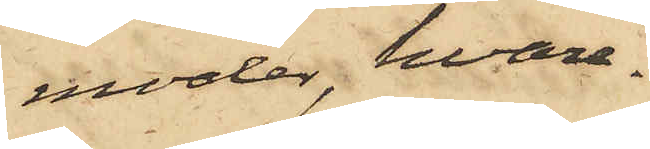moder, hvare¬
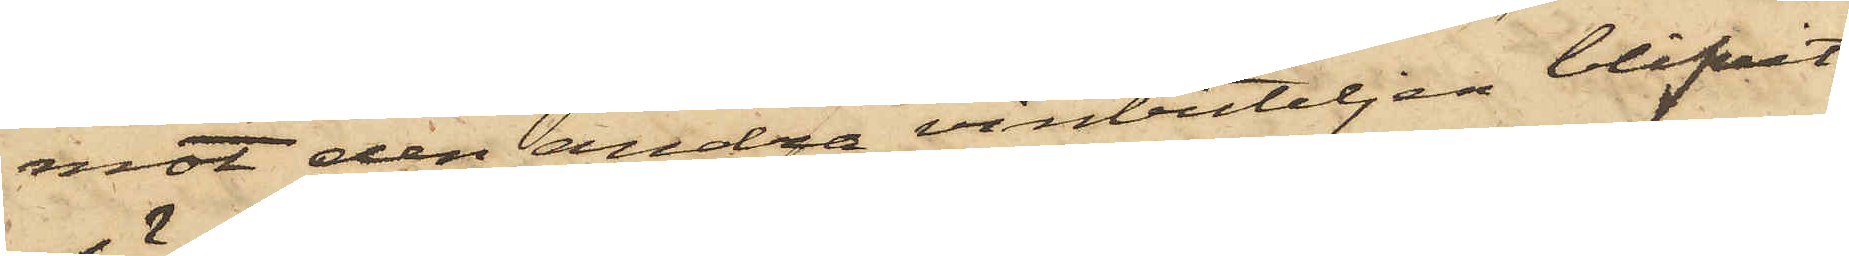mot den andra vinbuteljen blifvit
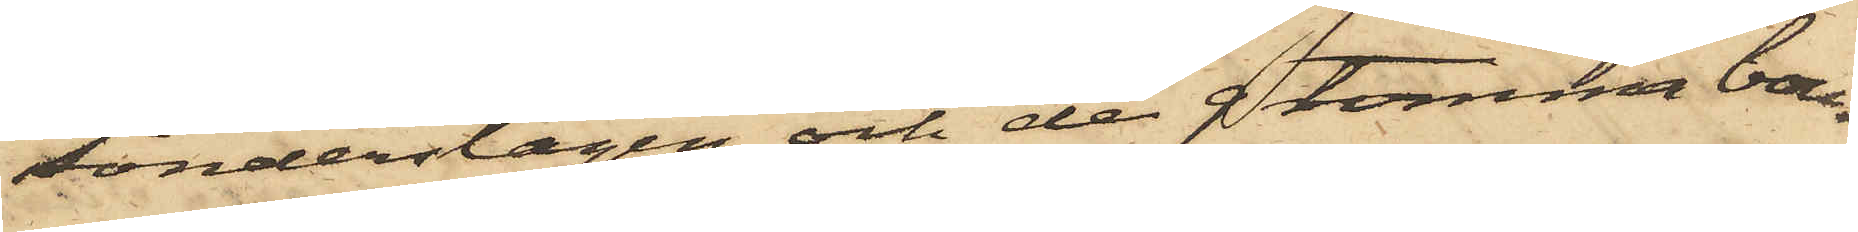sönderslagen och de 9 tomma bou¬
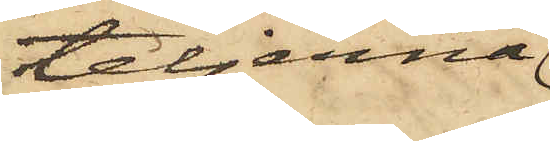teljerna
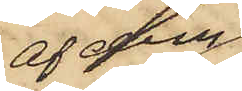af dem
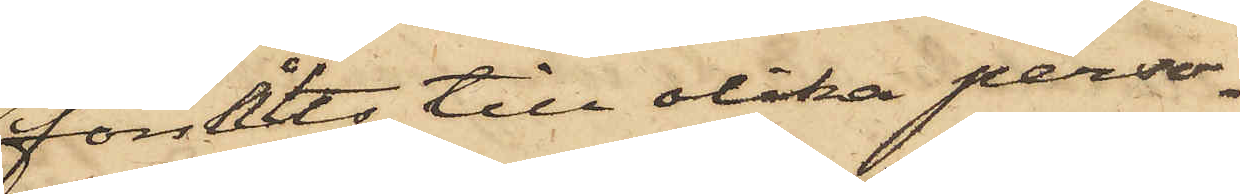försålts till olika perso¬
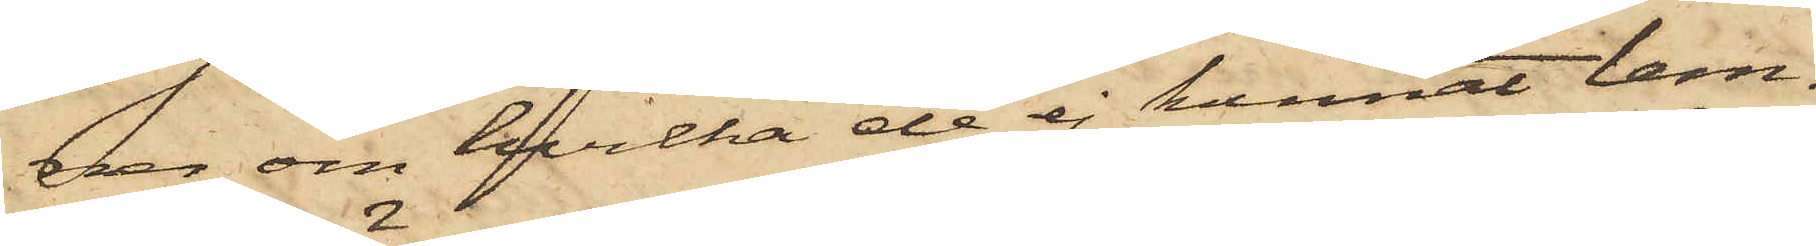ner, om hvilka de ej kunnat lem¬
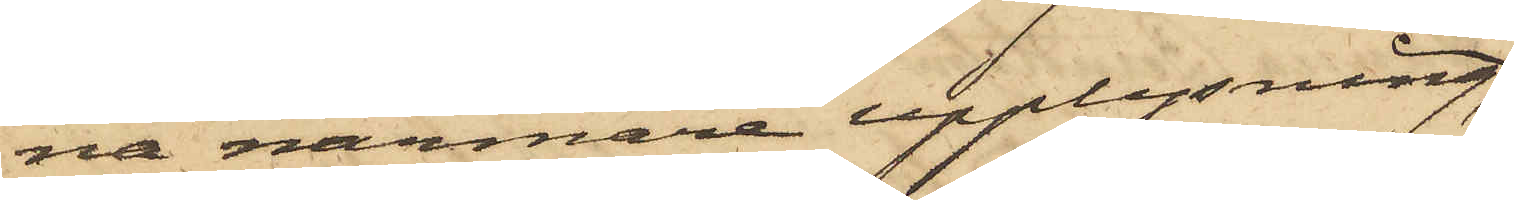na närmare upplysning;
